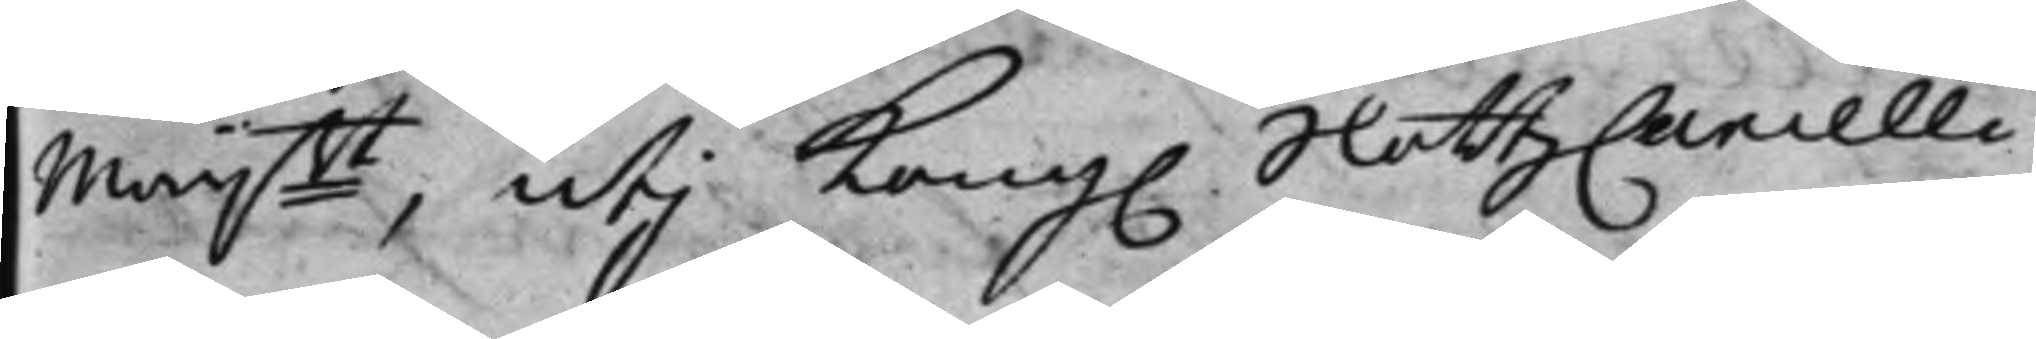Maijtt, utij Kong. SlottzCancelli¬
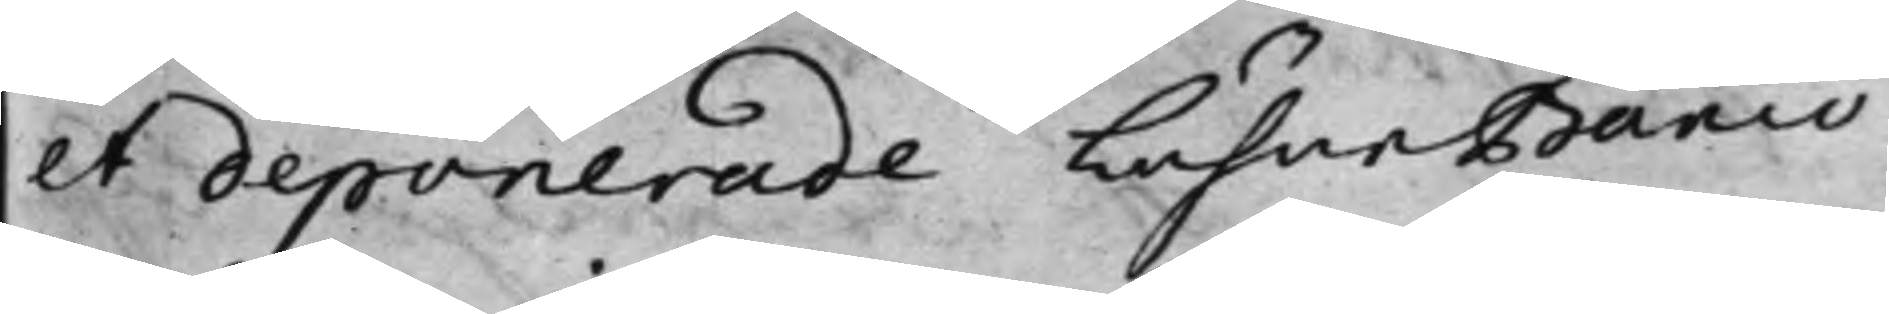et deponerade LähneBanco
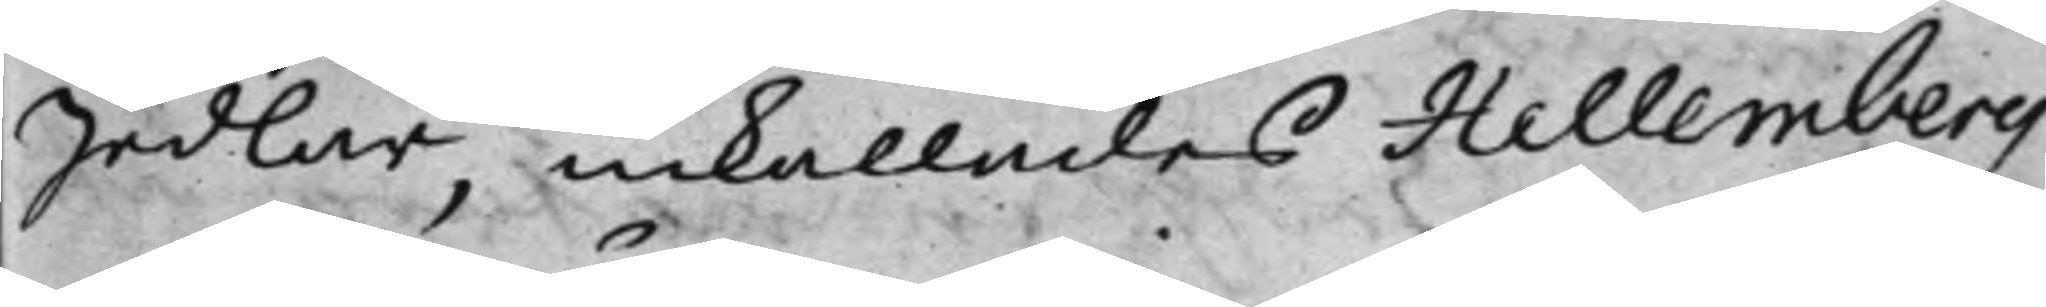Sedlar, inkallades Hellemberg
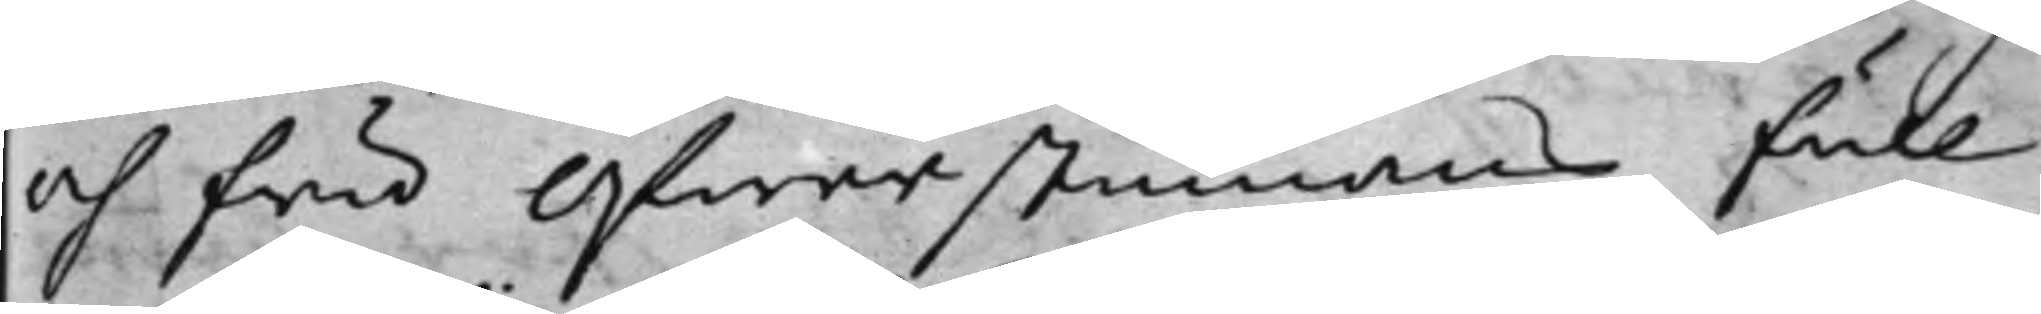och fru Öfwerstinnans full¬
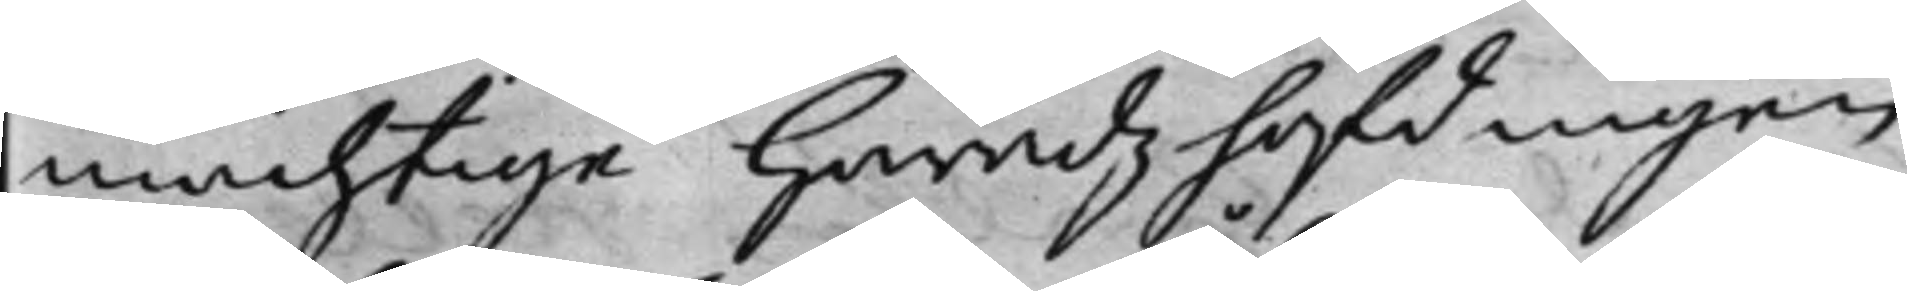mächtige Häradzhöfdingen
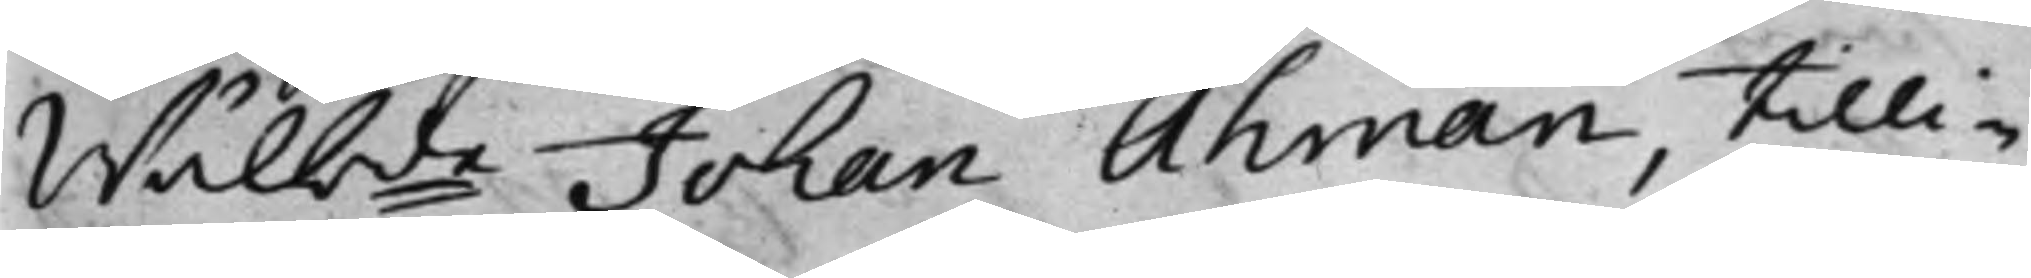Wälbde Johan Åhman, tilli¬
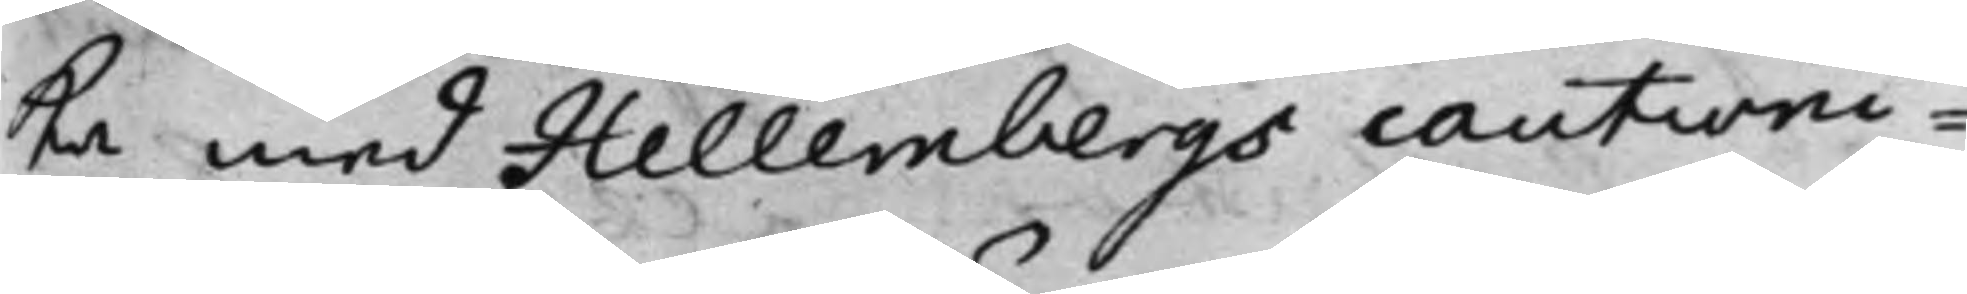ka med Hellembergs cautioni¬
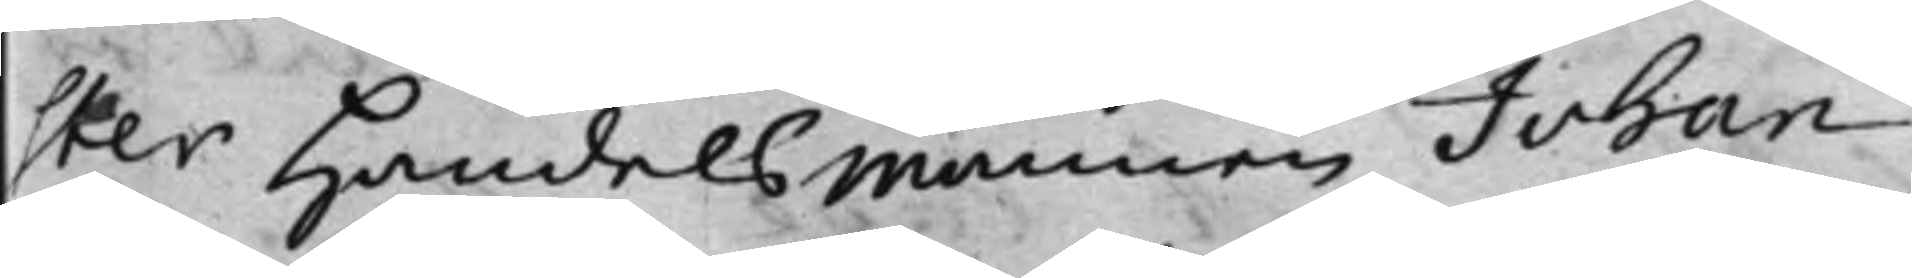ster Handelsmännen Johan
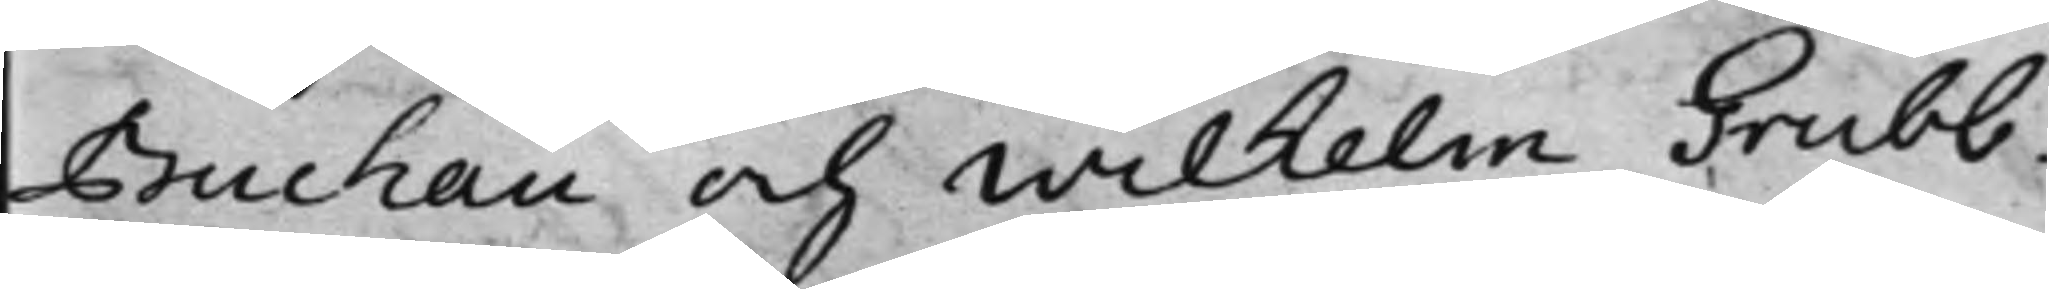Buchau och Wilhelm Grubb,
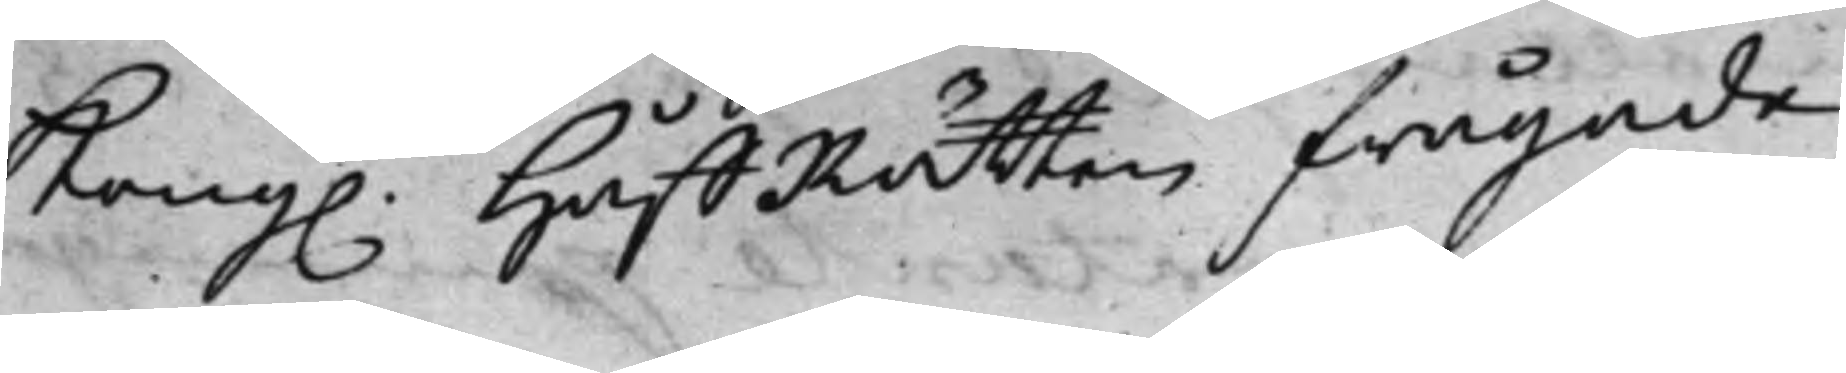Kong. HåffRätten frågade
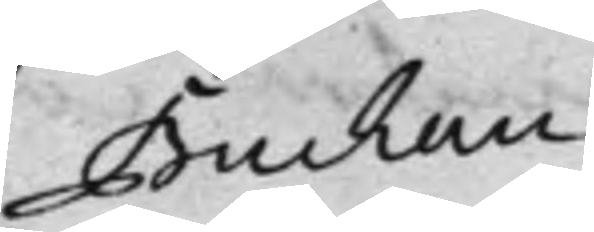Buchau
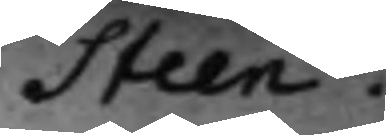Steen.
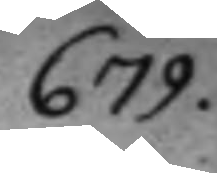679.
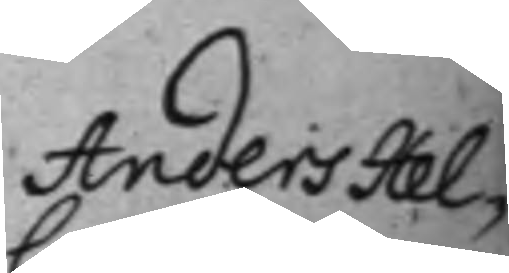Anders Hel¬
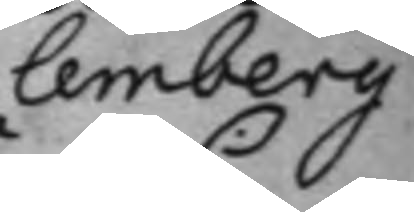lemberg
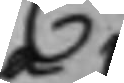C:
